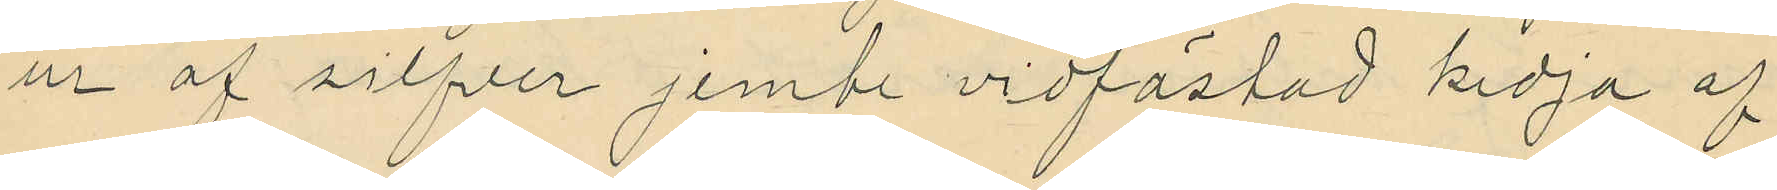ur af silfver jemte vidfästad kedja af
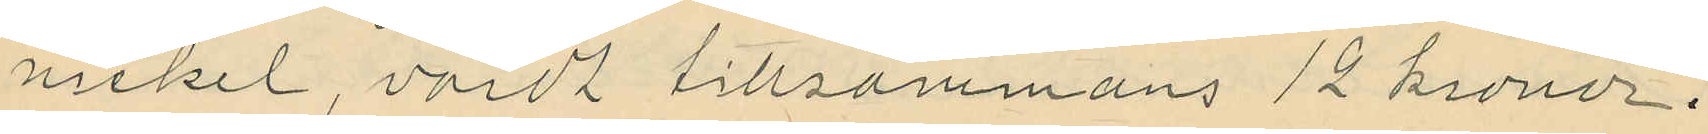nickel, värdt tillsammans 12 kronor.
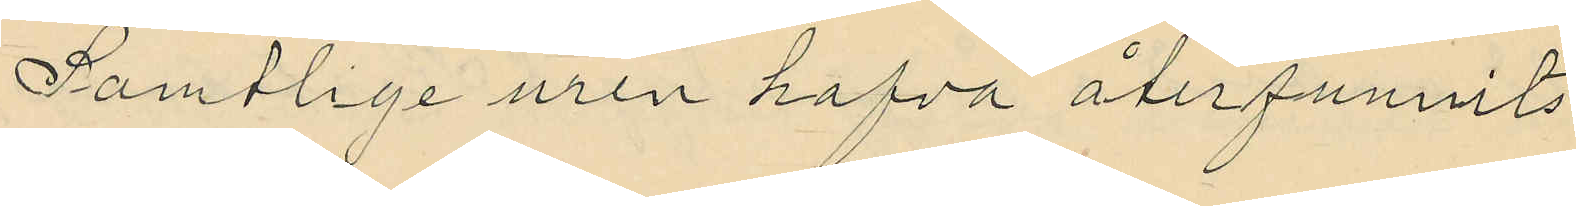Samtlige uren hafva återfunnits
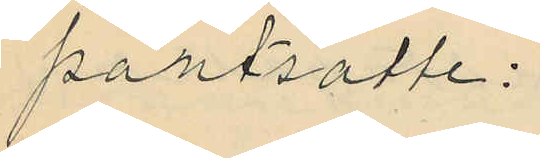pantsatte:
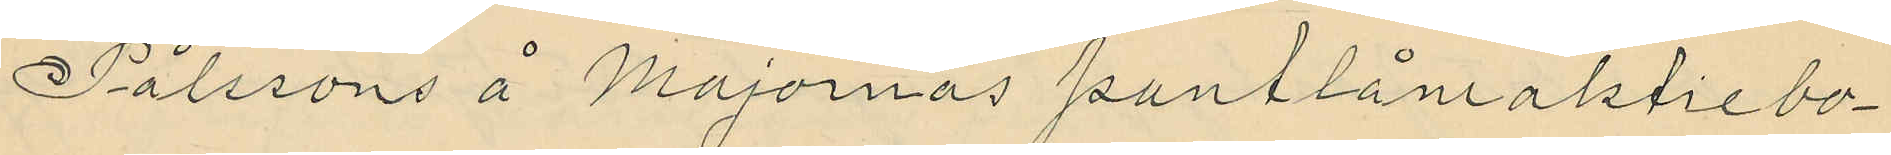Pålssons å Majornas pantlåneaktiebo¬
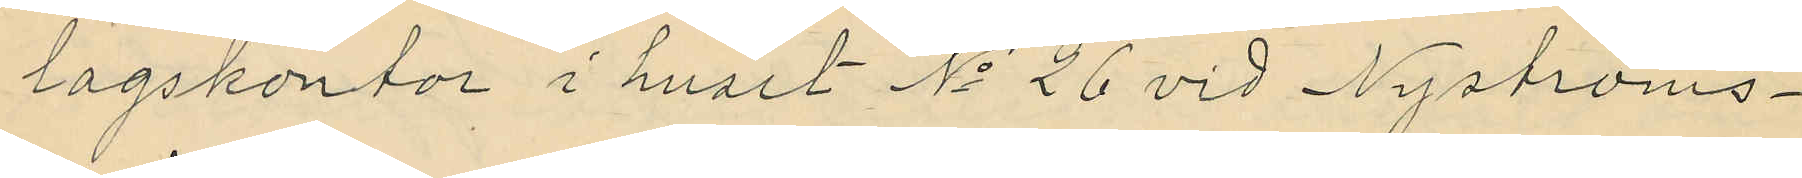lagskontor i huset No 26 vid Nyströms¬
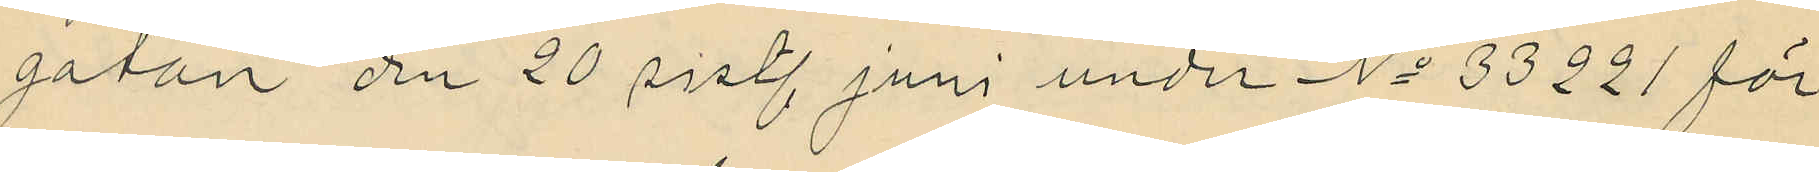gatan den 20 sistl. juni under No 33221 för
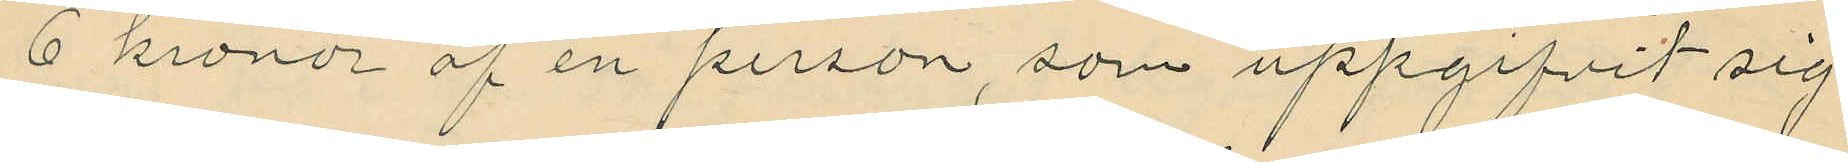6 kronor af en person, som uppgifvit sig
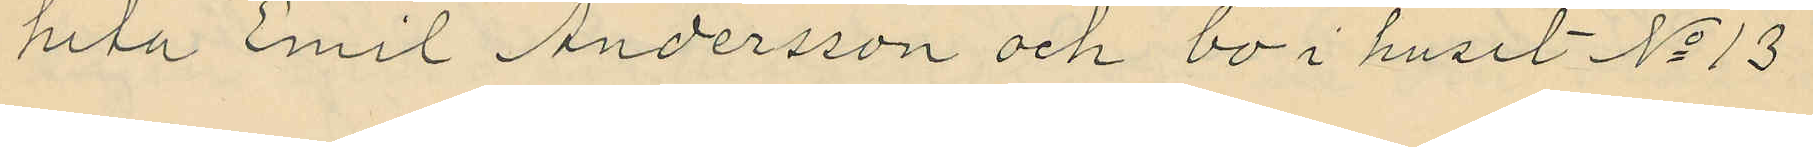heta Emil Andersson och bo i huset No 13
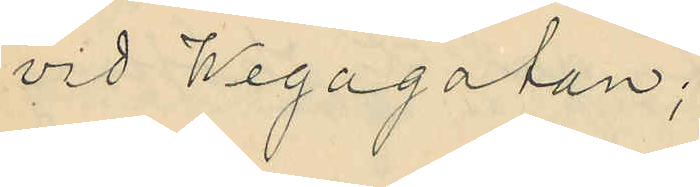vid Wegagatan;
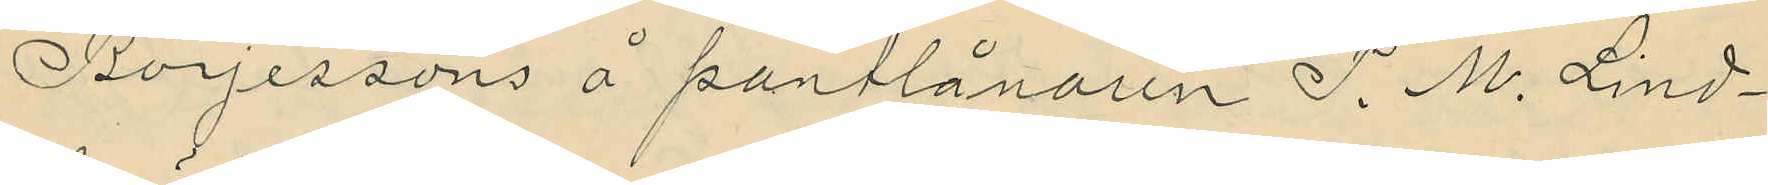Börjessons å pantlånaren P. M. Lind¬
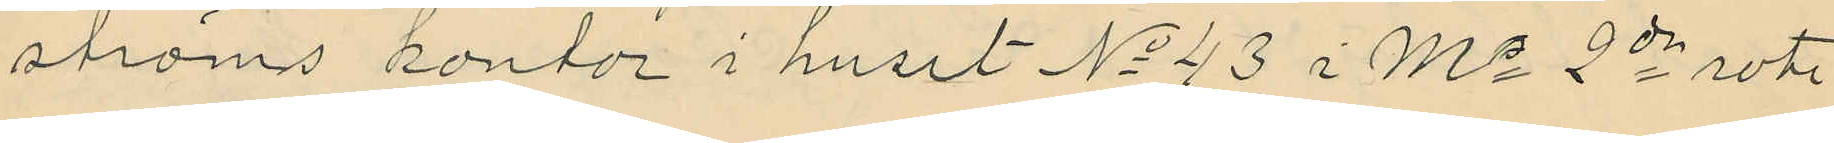ströms kontor i huset No 43 i Ms 2de rote
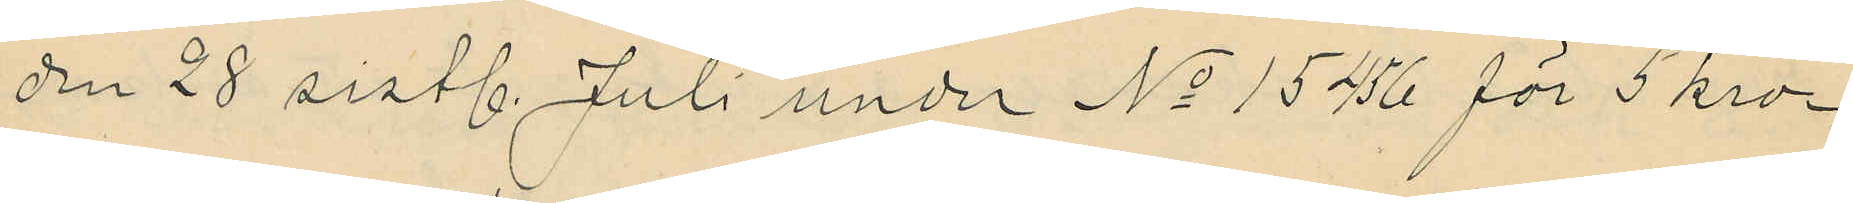den 28 sistl. Juli under No 15456 för 5 kro¬
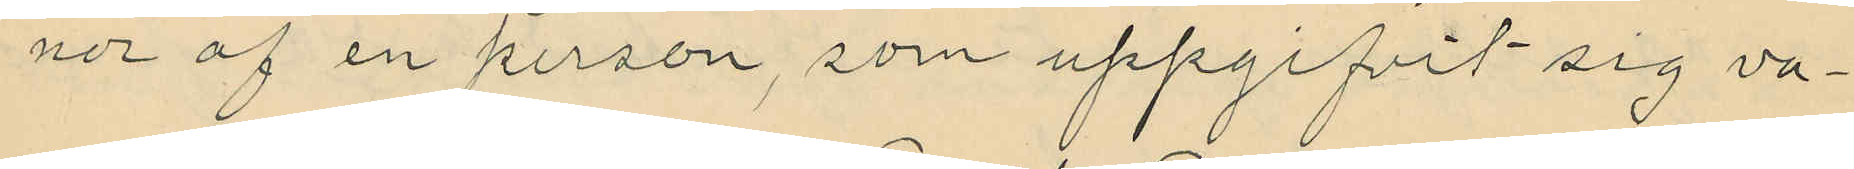nor af en person, som uppgifvit sig va¬
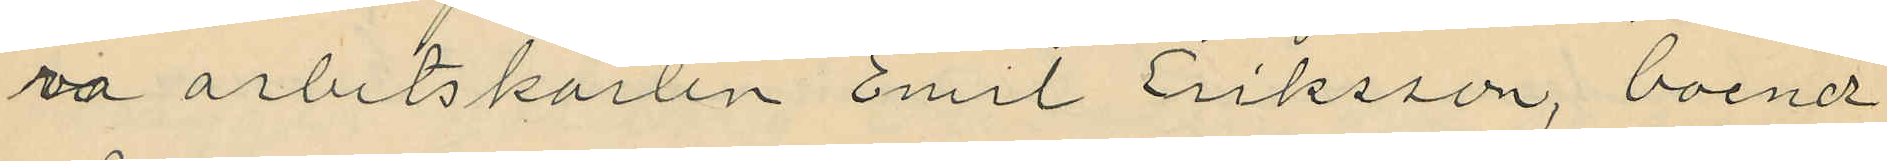va arbetskarlen Emil Eriksson, boende
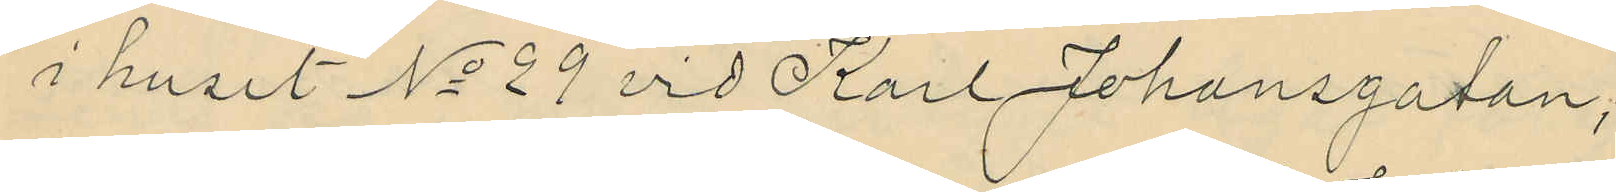i huset No 29 vid Karl Johansgatan;
